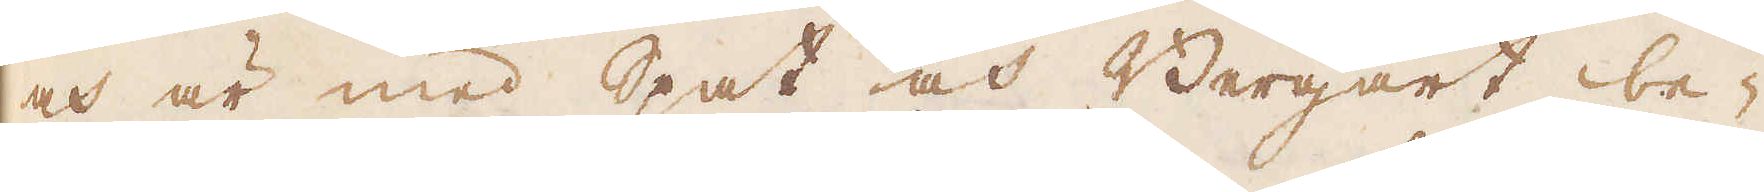och är med Spat och Bergart be-
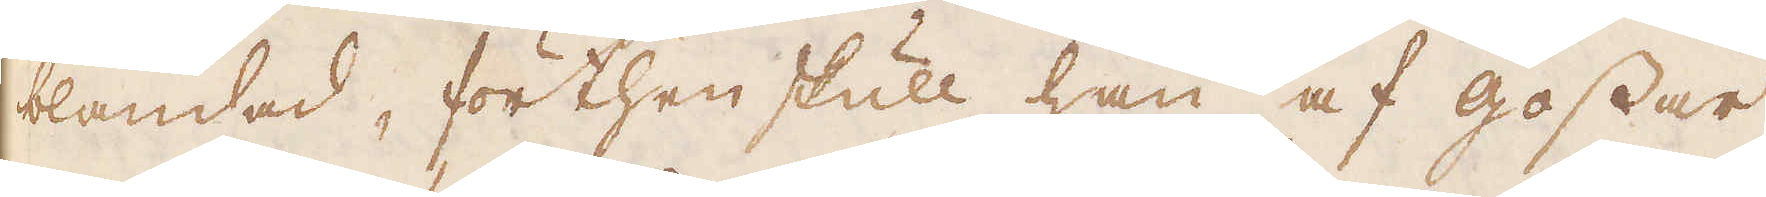blandad, förthen skull han af gossar
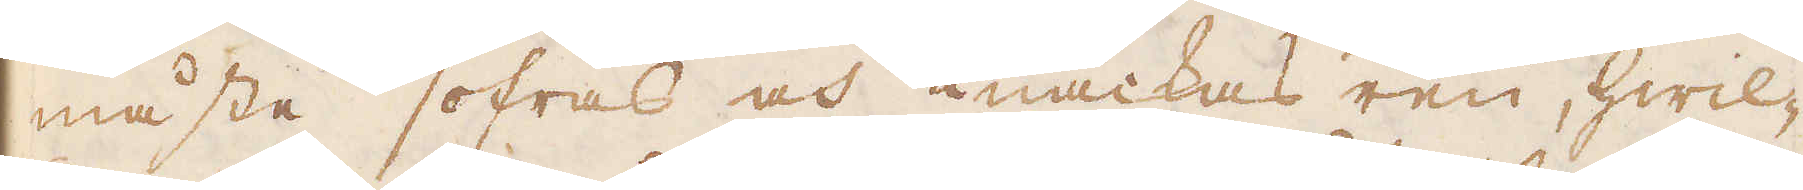måste sofras och knackas ren, hwil-
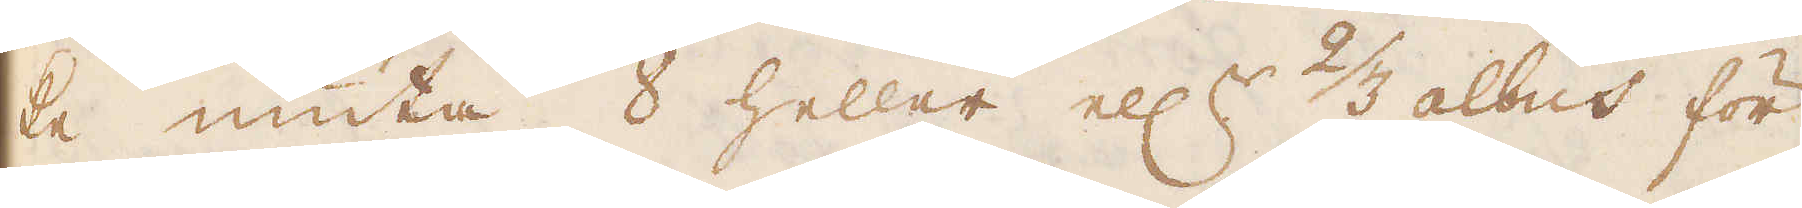ke niuta 8 heller ell:r 2/3 albus för
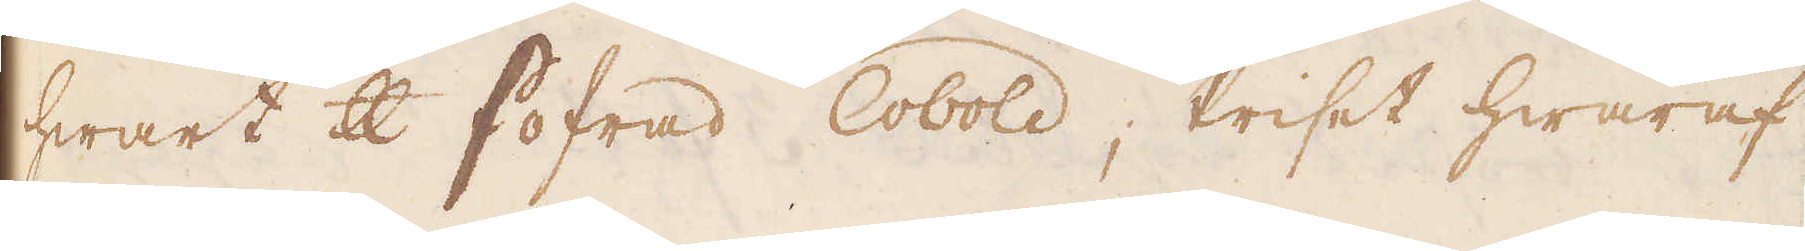hwart skålpund sofrad Cobold; Priset hwaraf
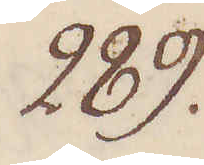289.
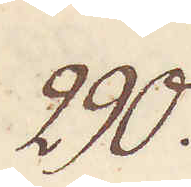290.
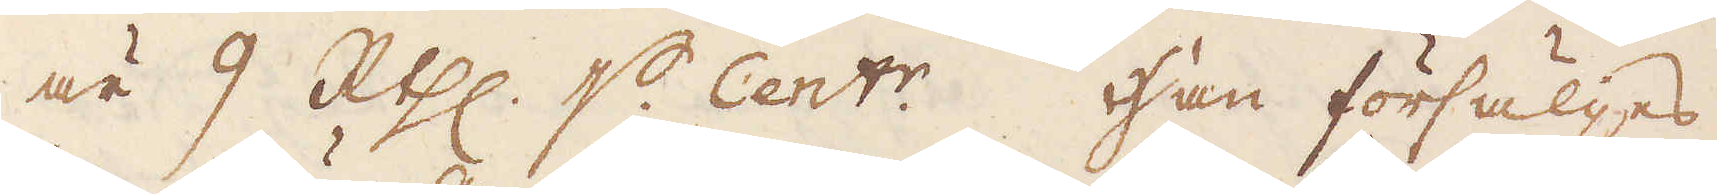är 9 R:thl. p Cent:r. Han försäljes
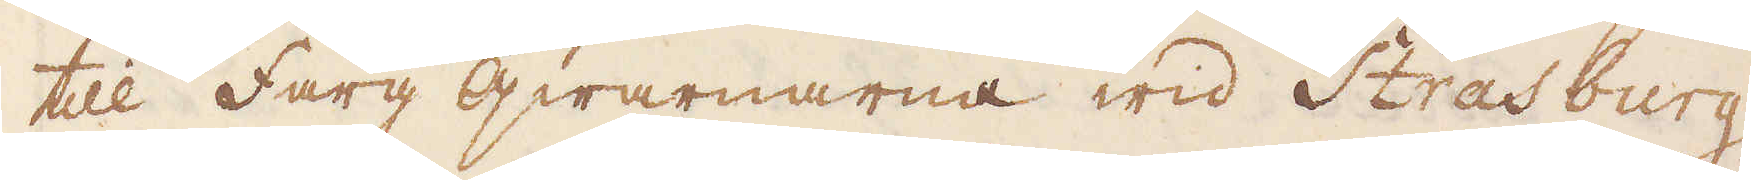till färg qwarnarna wid Strasburg,
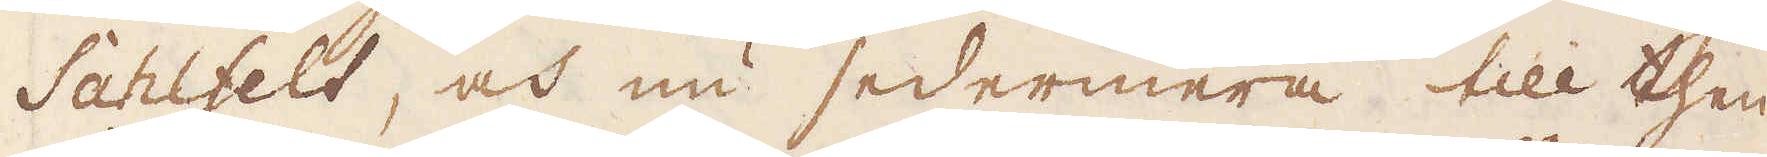Sahlfelt, och nu sedermera till then
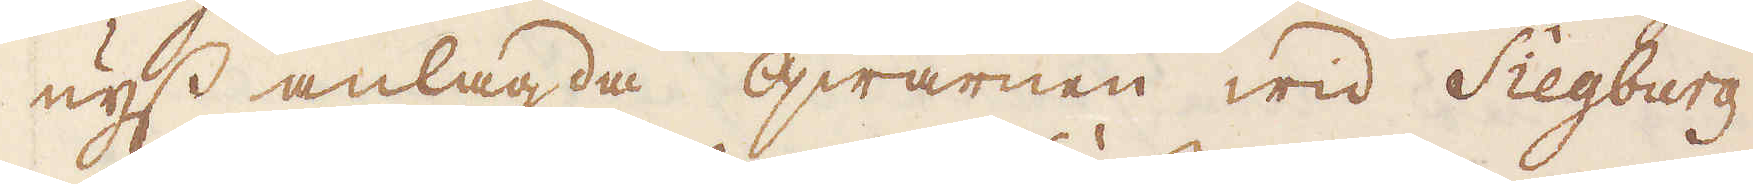nyss anlagda qwarnen wid Siegburg
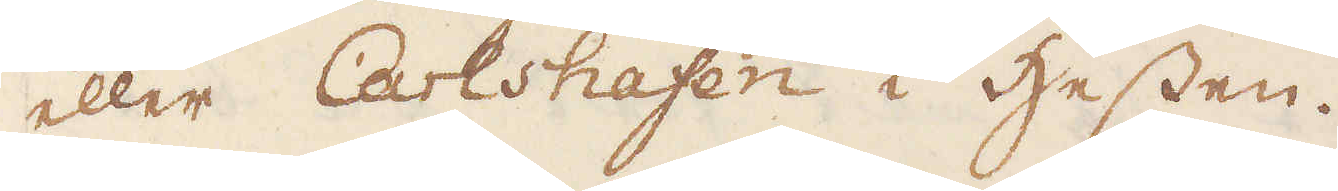eller Carlshafen i Hessen.
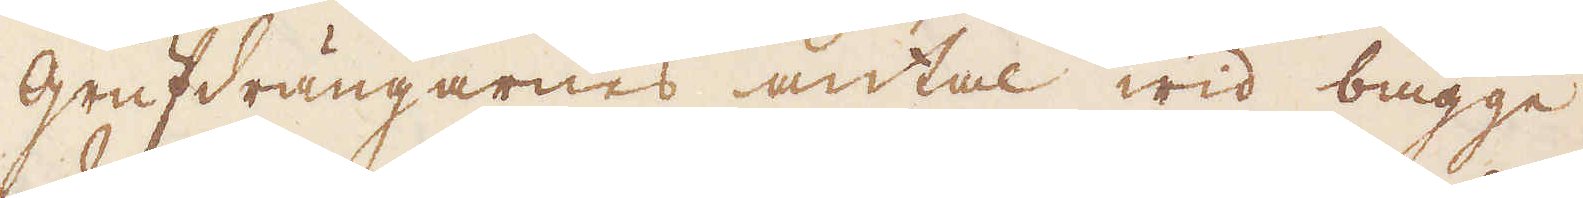Grufdrängarnas antal wid bägge
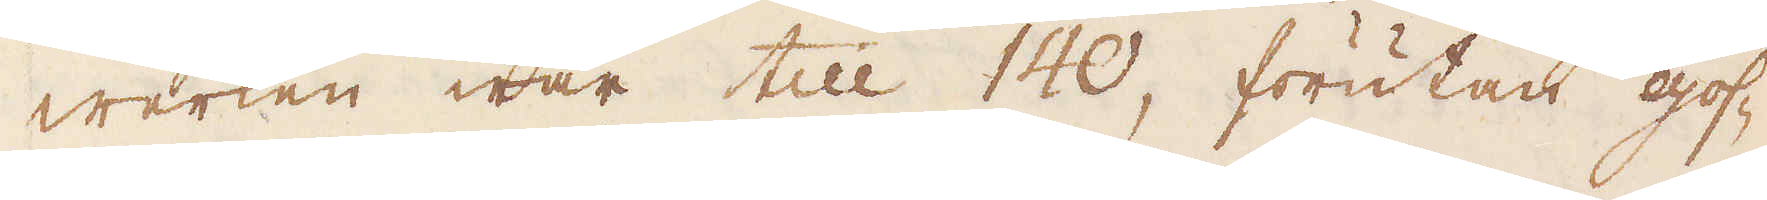werken war till 140, förutan gos-
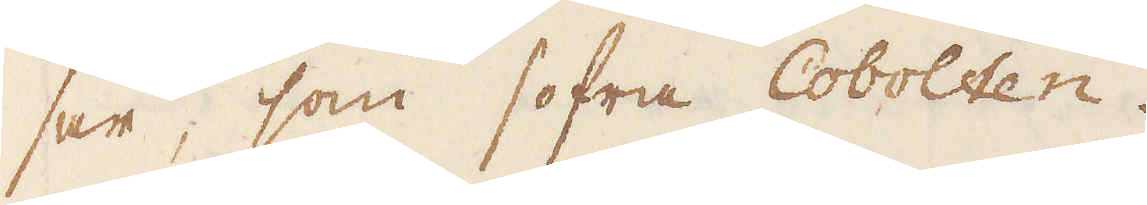sar, som sofra Cobolten.
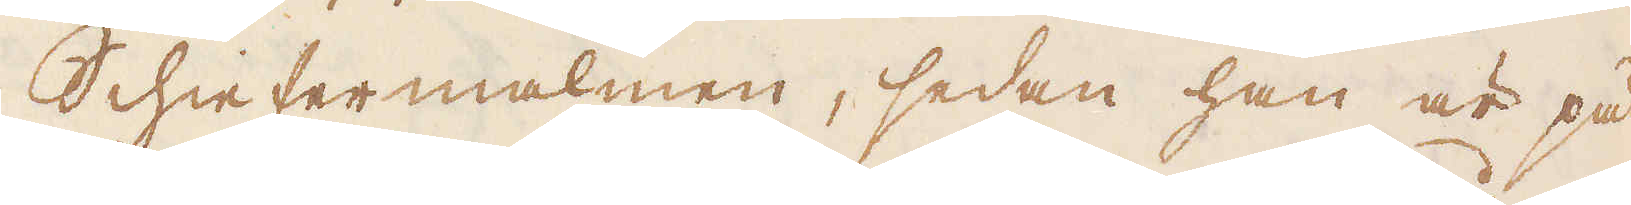Schiefermalmen, sedan han är på
